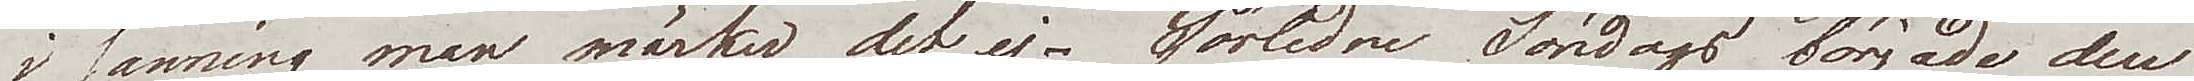i sanning man märker det ej. Förliden Söndag började den
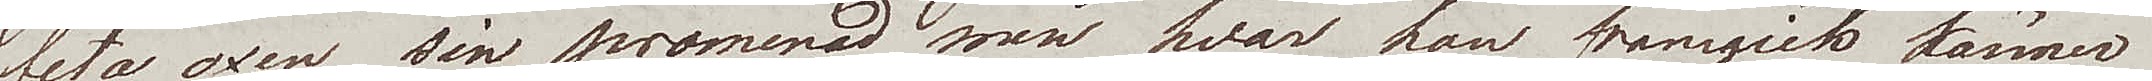feta oxen sin promenad men hvar han framgick känner
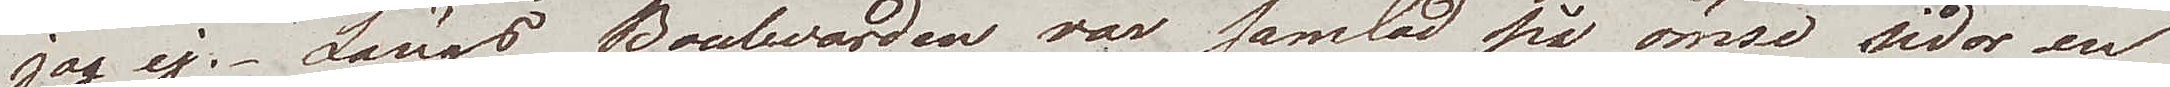jag ej. Längs Boulewarden var samlad på ömse sidor en
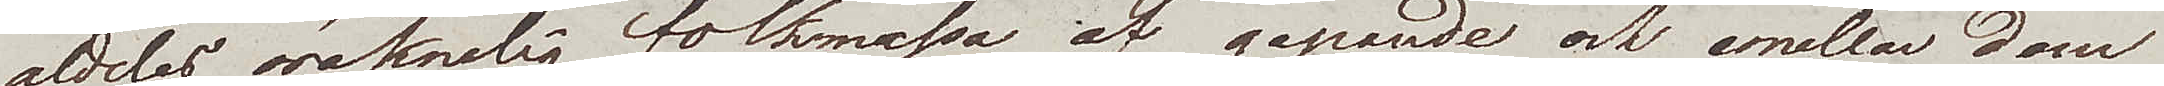aldeles oräknelig folkmassa af gapande och emellan dem
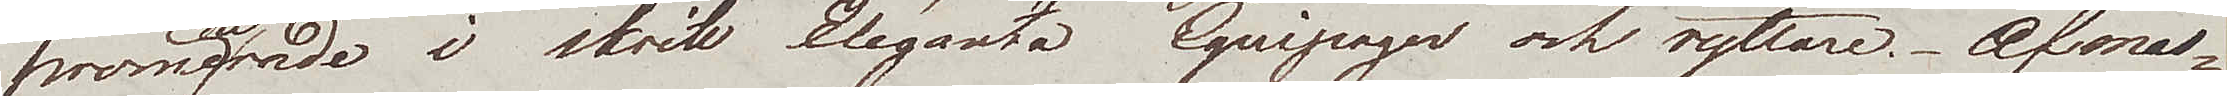promenerande i skritt Eléganta Equipager och ryttare. Af mas¬
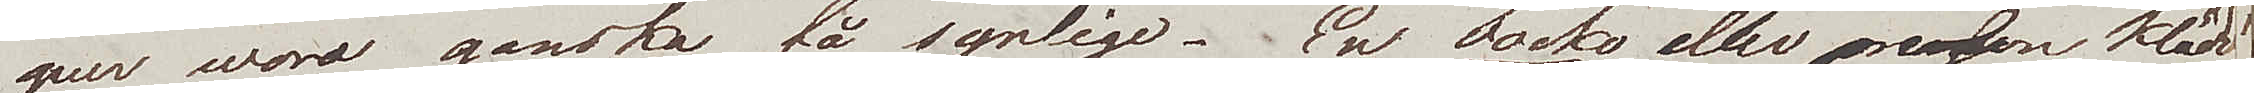quer woro ganska få synlige. En Jocko eller person klädd
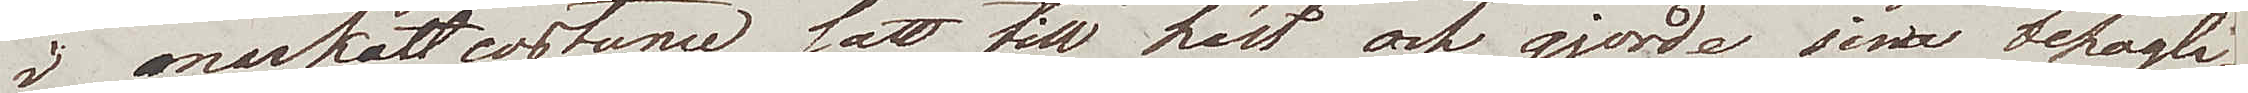i markattcostume satt till häst och gjorde sina behagli¬
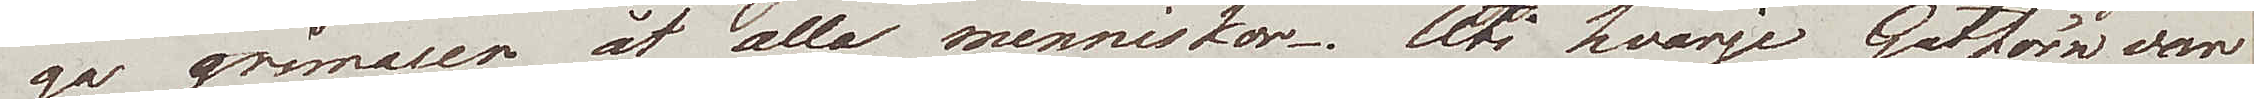ga grimaser åt alla menniskor. Uti hvarje gathörn woro
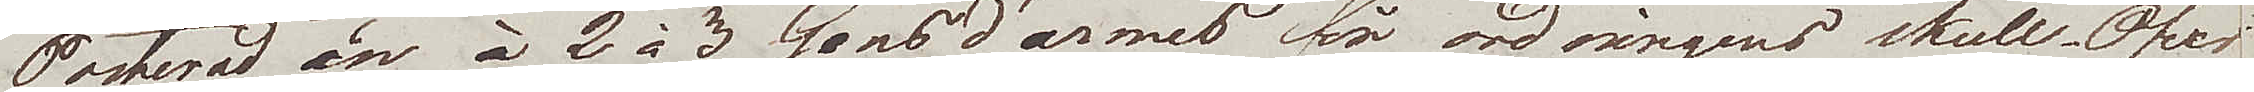Posterad en à 2 à 3 Gendarmer för ordningens skull. Öfver
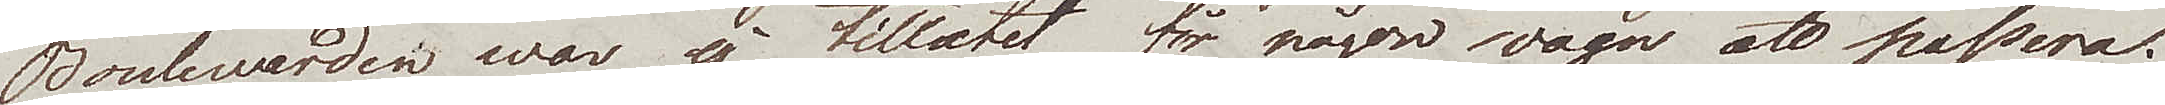Boulewarden war ej tillåtet för någon wagn att passera.
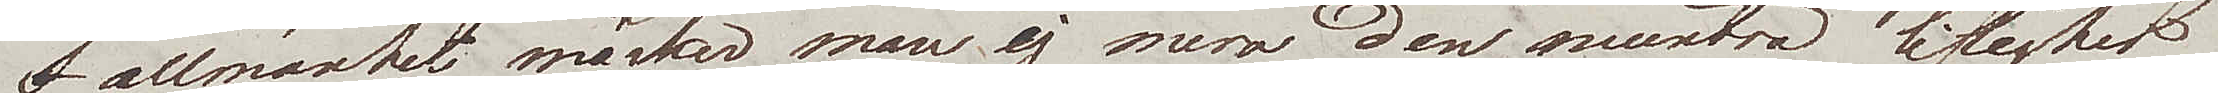I allmänhet märker man ej mera den muntra liflighet
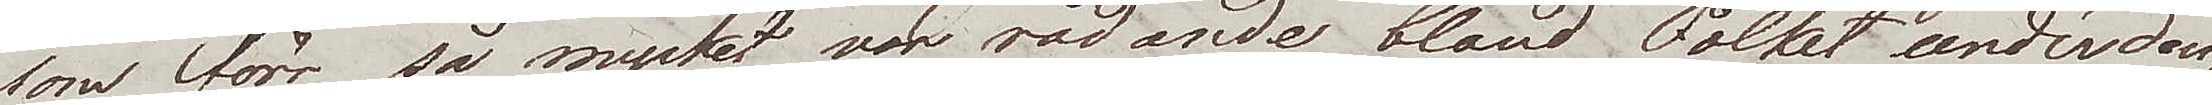som förr så mycket var rådande bland Folket under den¬
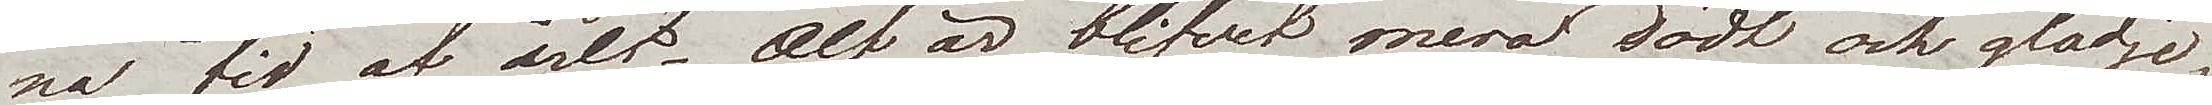na tid af året. Alt är blifvet mera dödt och glädje¬
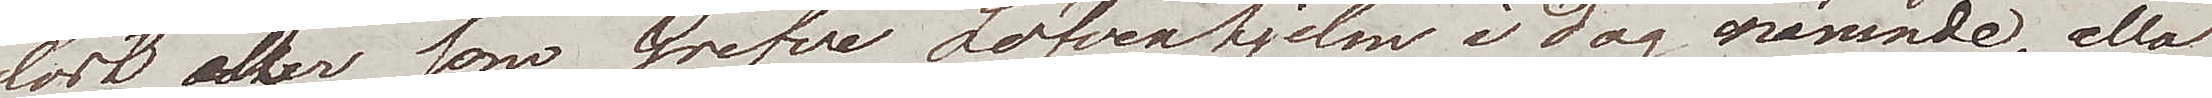löst, eller som Grefve Löfvenhjelm i dag nämnde, alla 
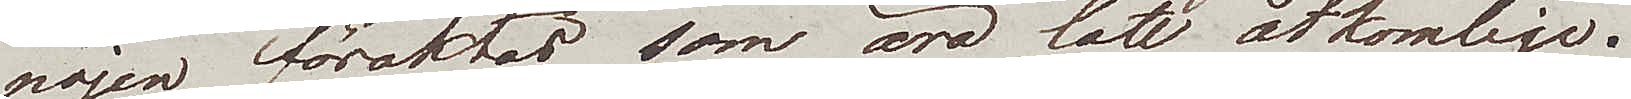nöjen föraktas som äro lätt åtkomliga.
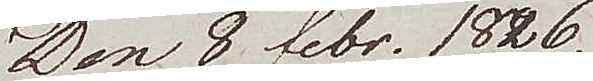Den 8 febr. 1826.
